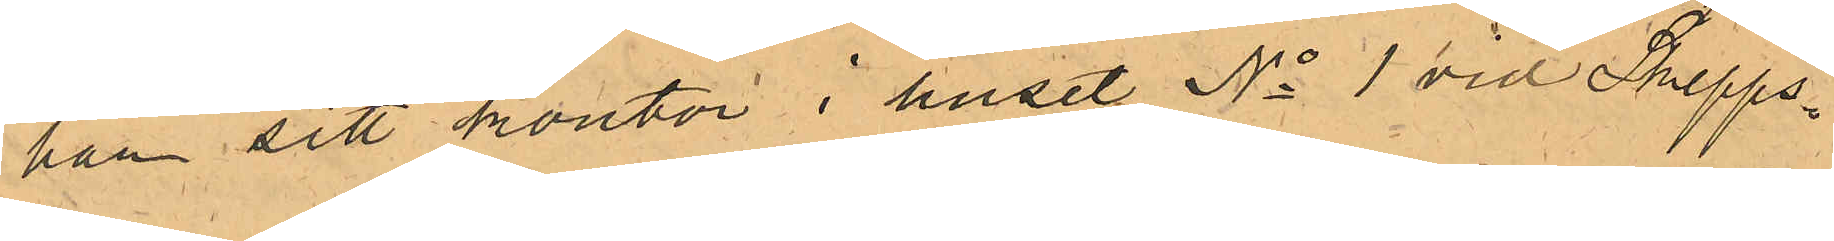har sitt kontor i huset No 1 vid Skepps¬
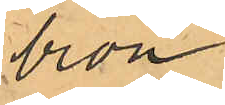bron.
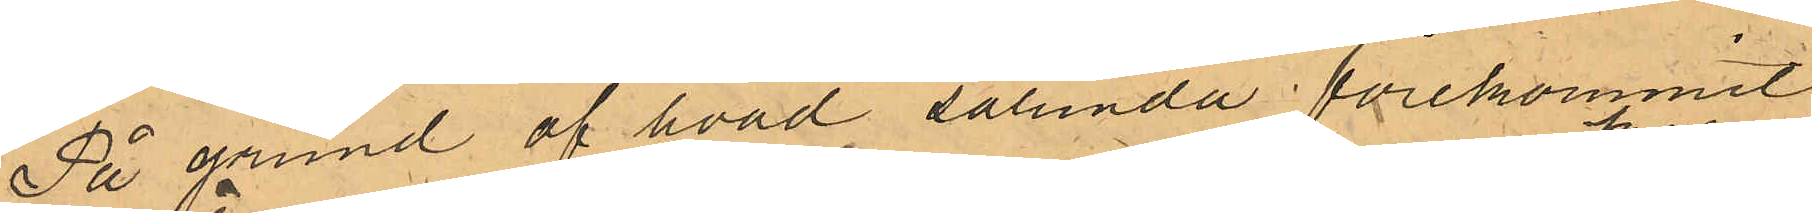På grund af hvad sålunda förekommit
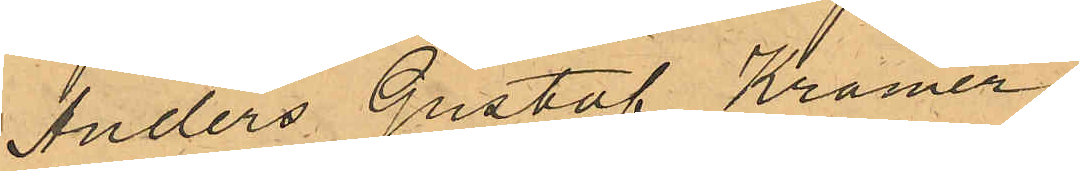Anders Gustaf Kramer,
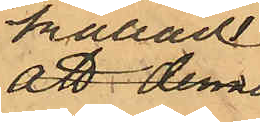kallad
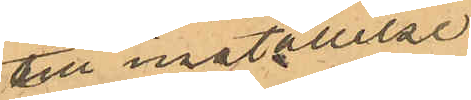till inställelse
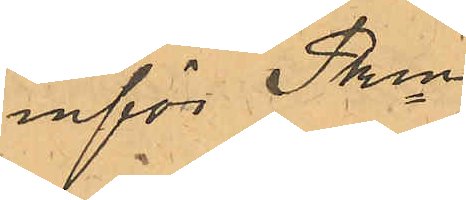inför Pken
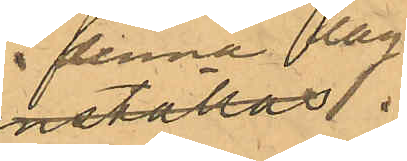denna dag.
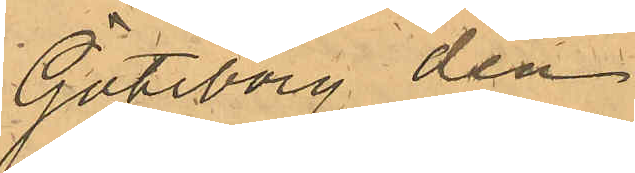Göteborg den
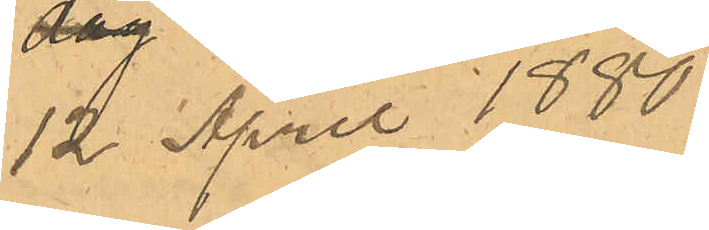12 April 1880.
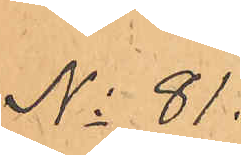No 81.
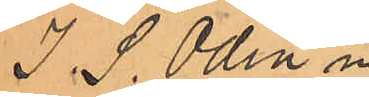J. S. Odin m.
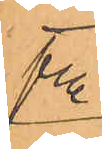fl.
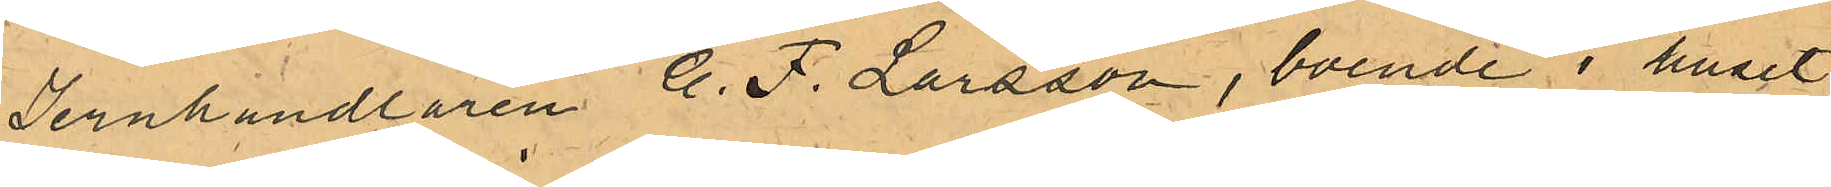Jernhandlaren C. F. Larsson, boende i huset
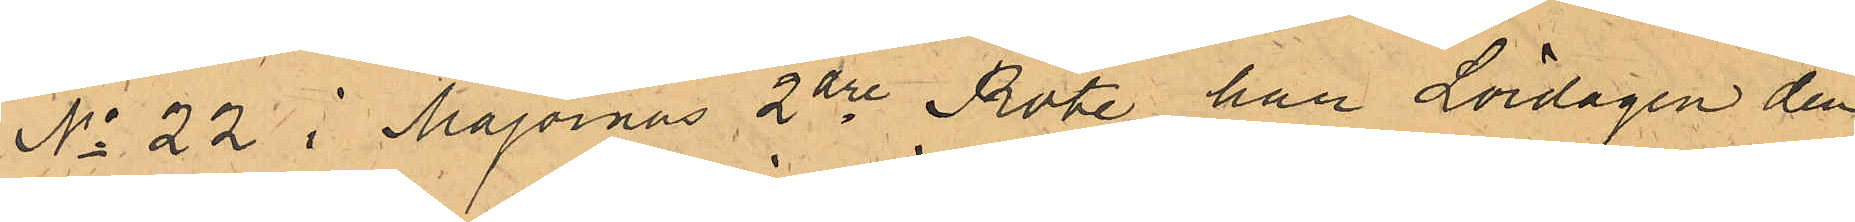No 22 i Majornas 2dre Rote har Lördagen den
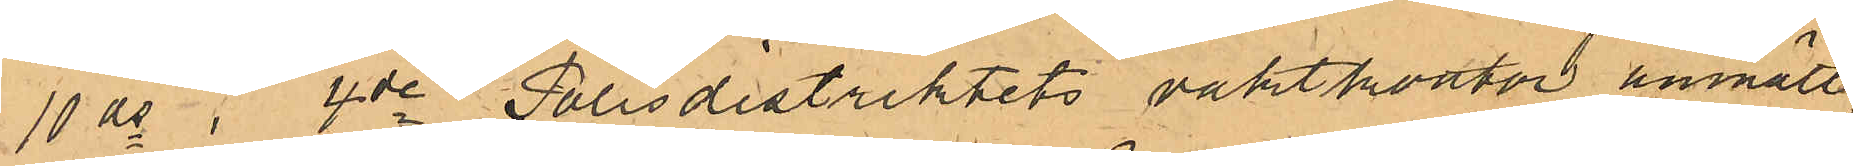10 ds i 4de Polisdistriktets vaktkontor anmälts,
